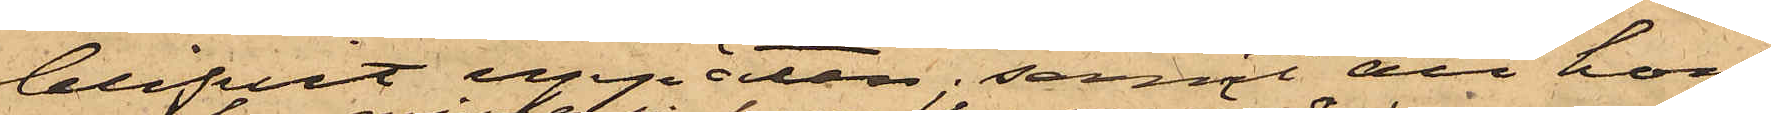blifvit uppäten; samt att hon
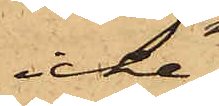icke
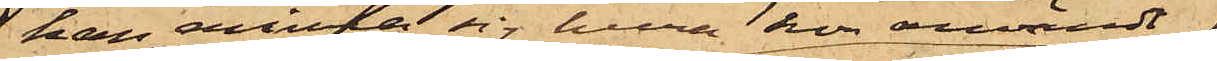kan erinra sig huru hon användt
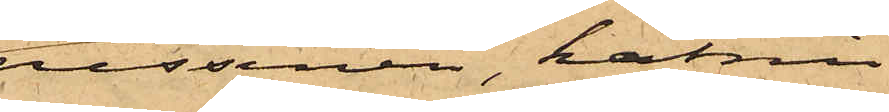russinen, katrin¬
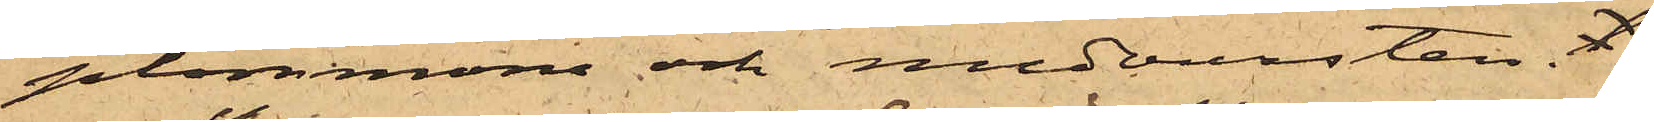plommona och medvursten. t
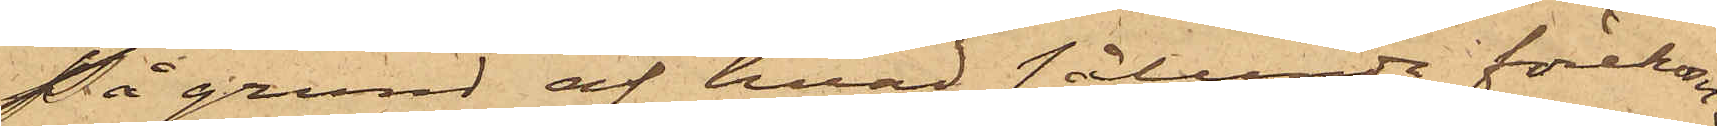På grund af hvad sålunda förekom¬
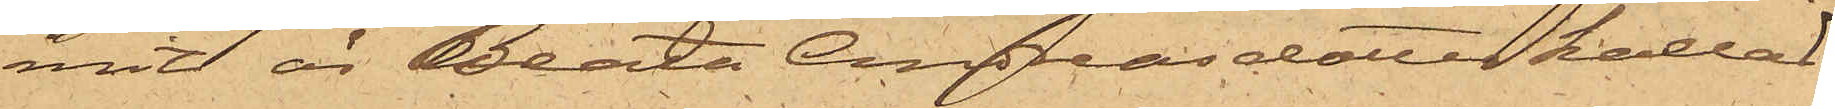mit är Beata Andreasdotter kallad
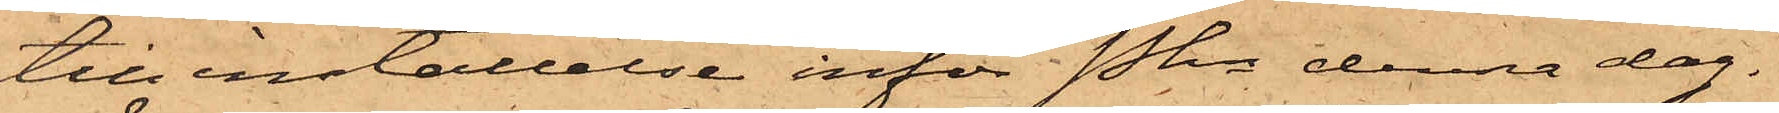till inställelse inför Pkn denna dag.
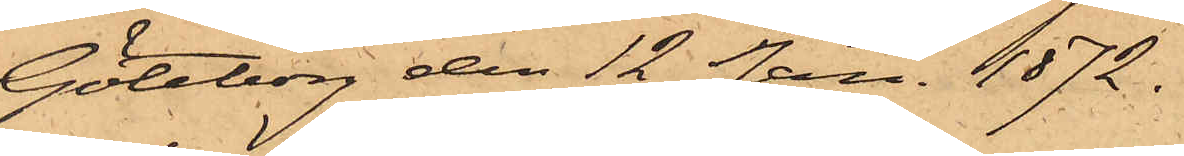Göteborg den 12 Jan. 1872.
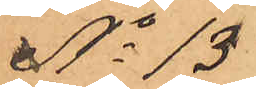No 13
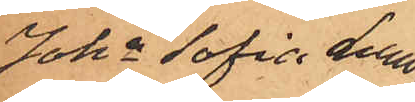Joha Sofia Lund¬
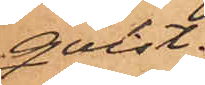qvist.
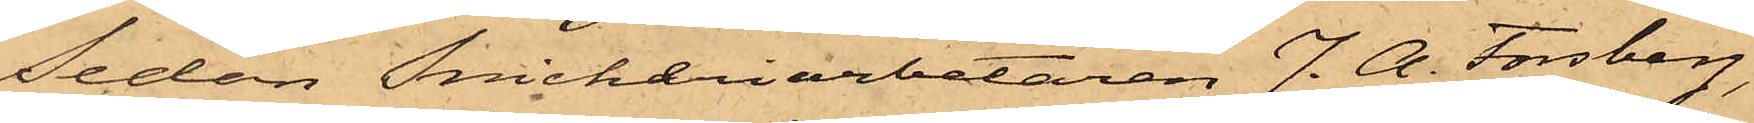Sedan Snickeriarbetaren J. A. Forsberg,
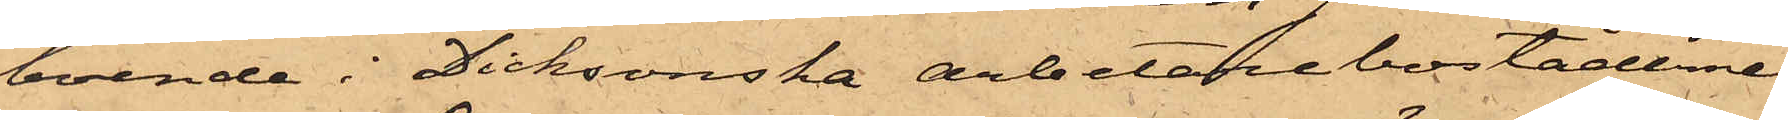boende i Dicksonska arbetarebostäderne
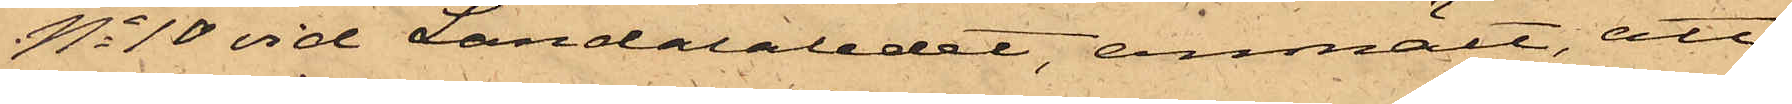No 10 vid Landalaledet, anmält, att
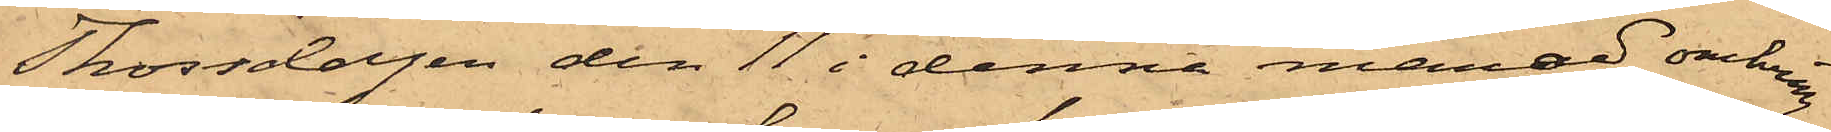Thorsdagen den 11 i denna månad omkring
